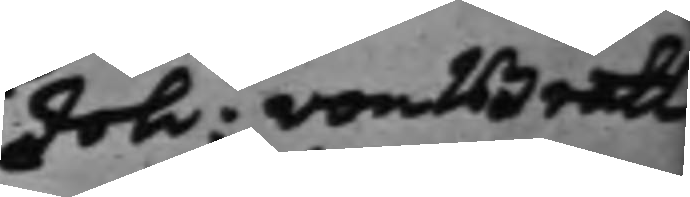Joh: von Bratt
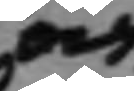och
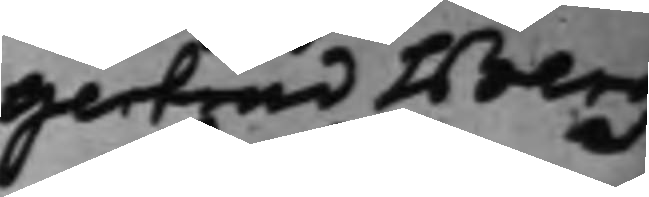Gertrud Berg¬
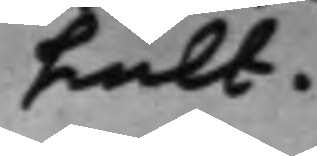hult.
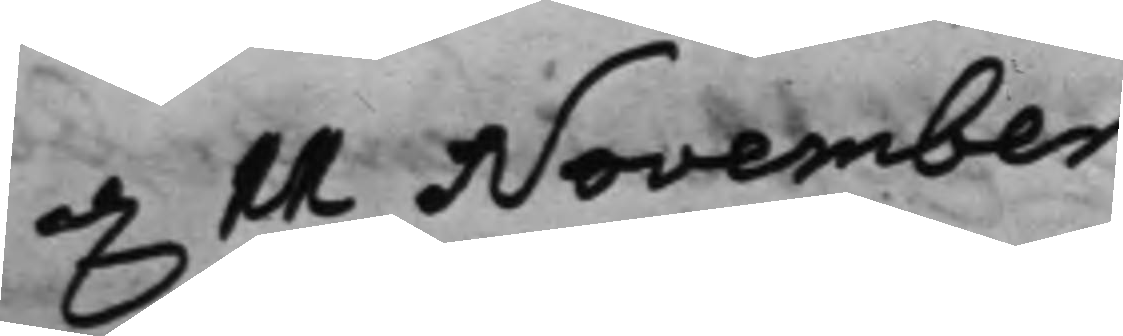d. 11 November
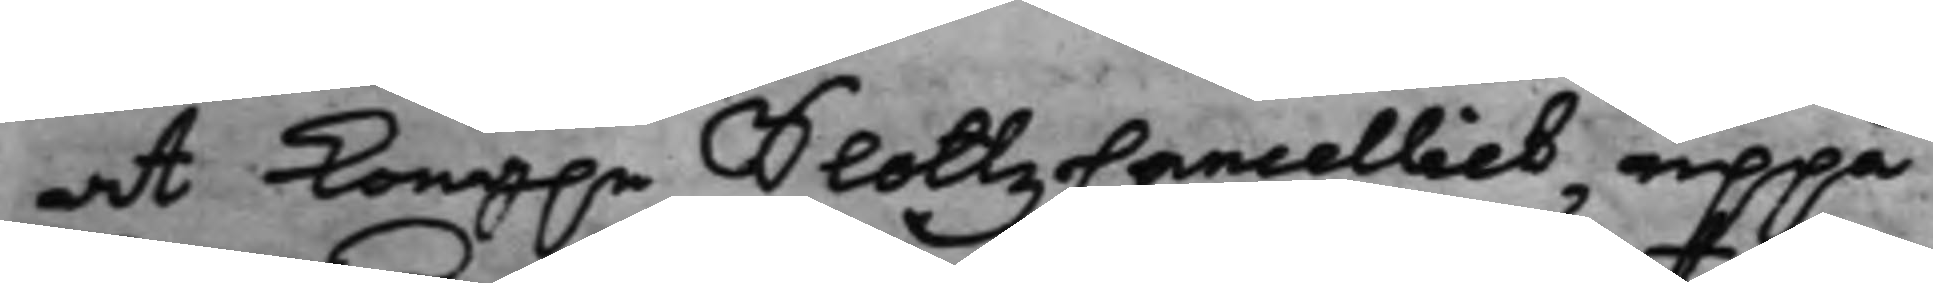at Kong.e SlottzCancelliet, uppå
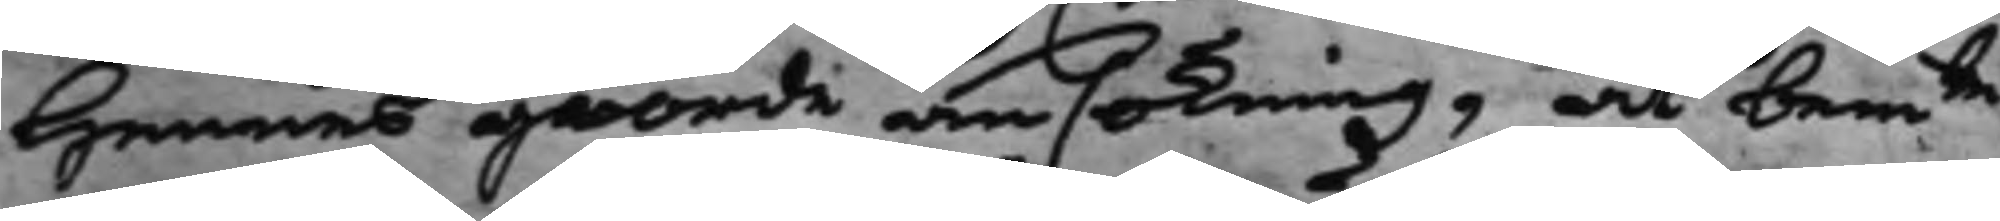hennes giorde ansökning, at bemte
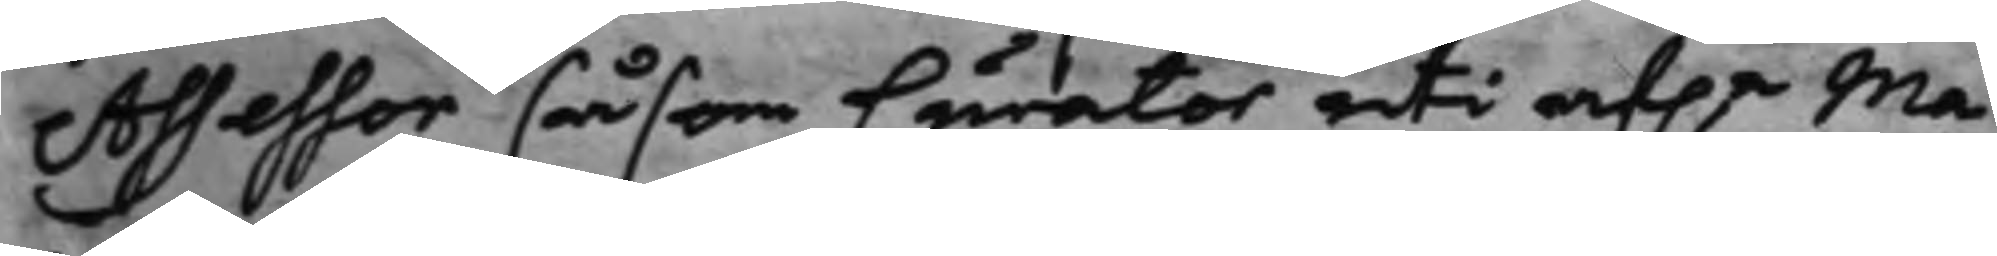Assessor såsom Curator uti af:e Ma¬
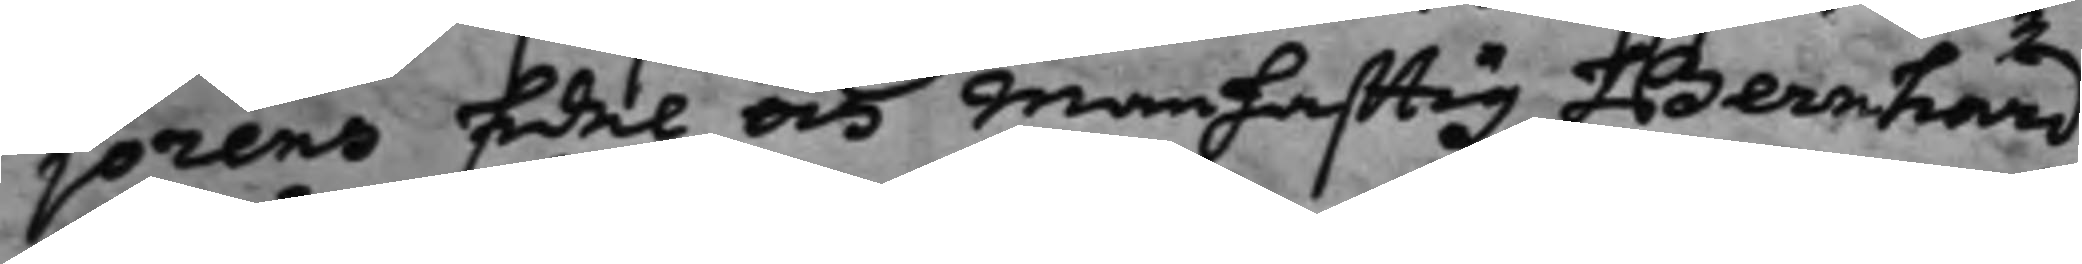jorens Edel och Manhafftig Bernhard
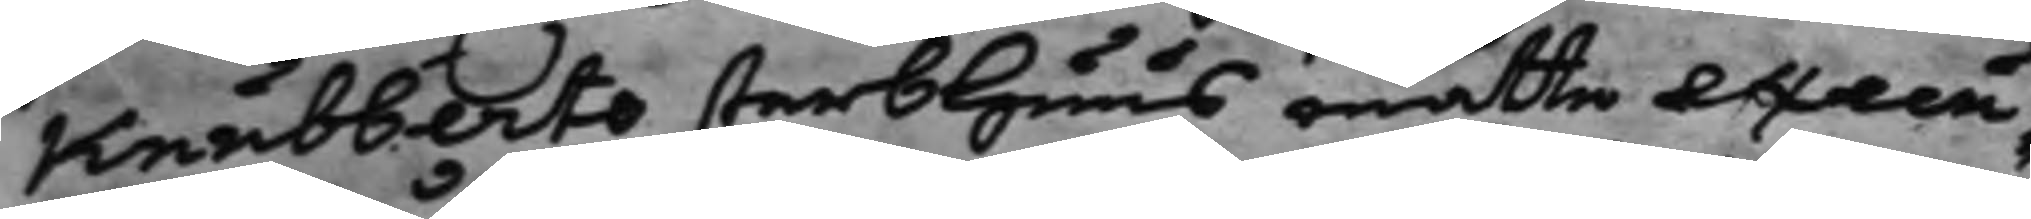Knubberts sterbhuus måtte execu¬
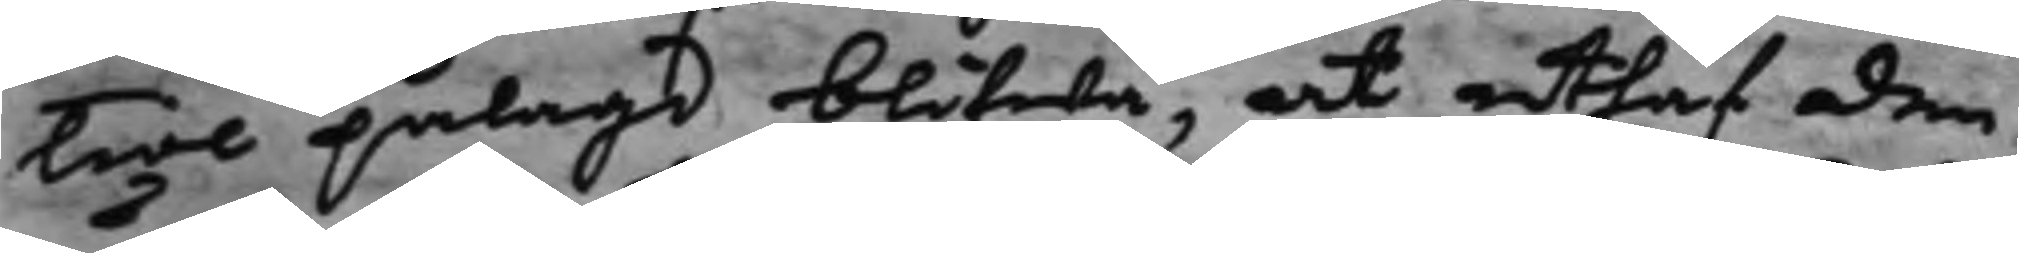tioe pålagd blifwa, at uthaf den
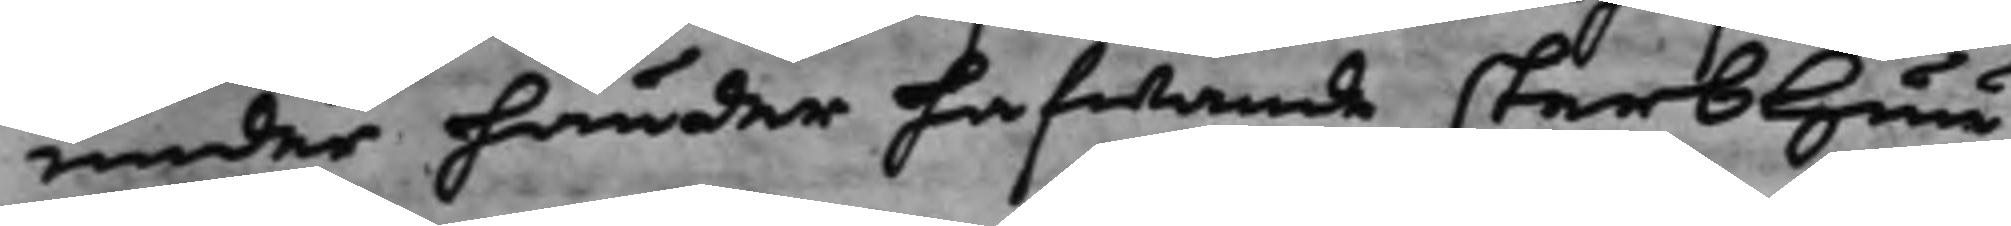under händer hafwande sterbhuu¬
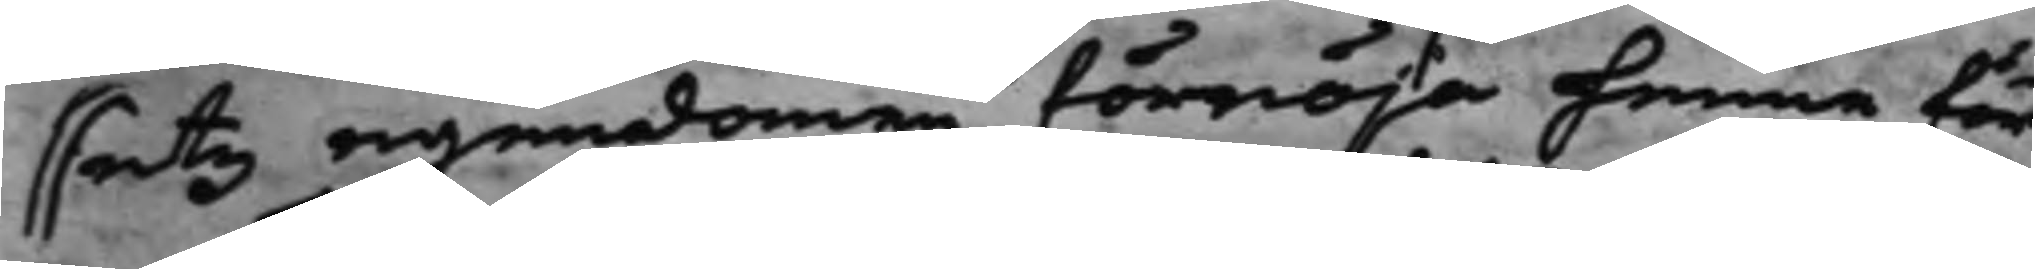setz egendomen förnöja henne för
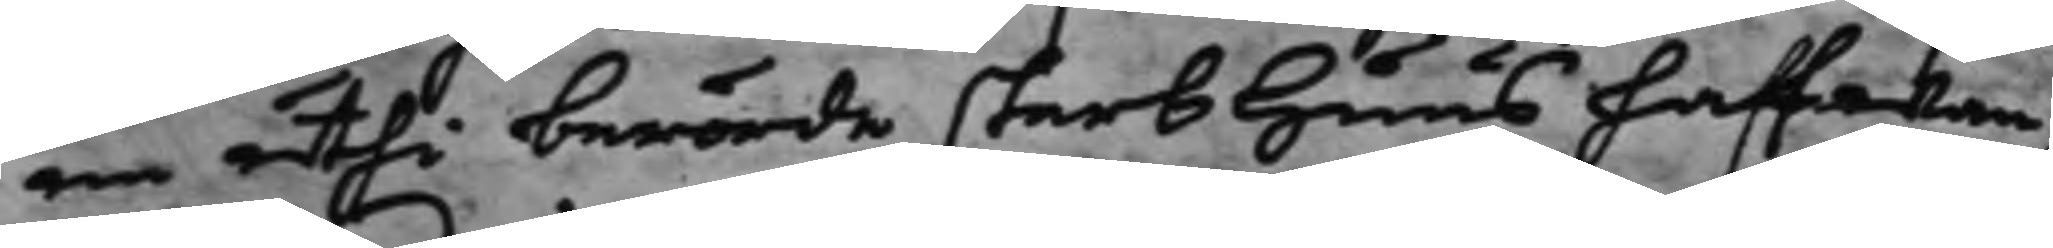nu uti berörde sterbhuus haffwan¬
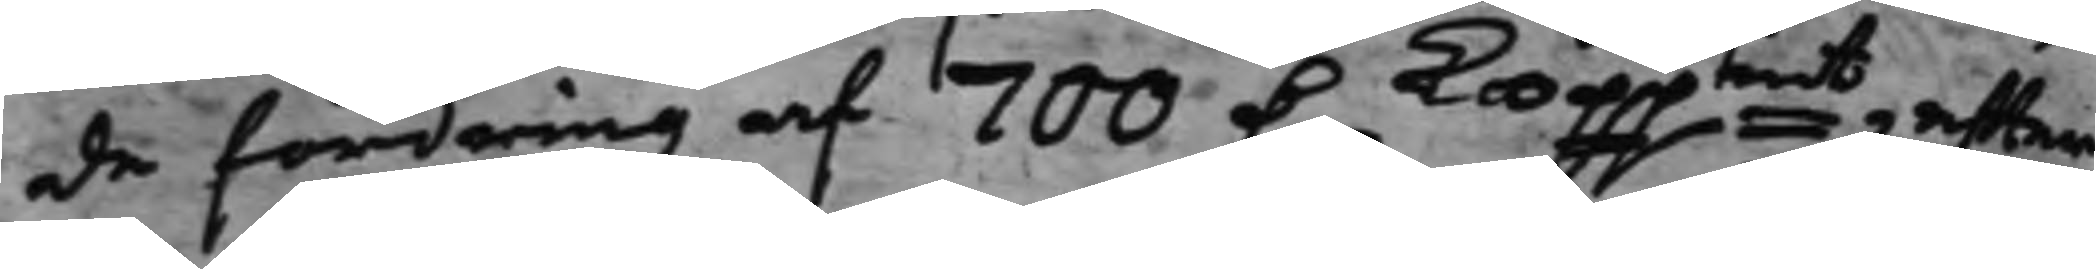de fordring af 700 D. Koppmt, efter
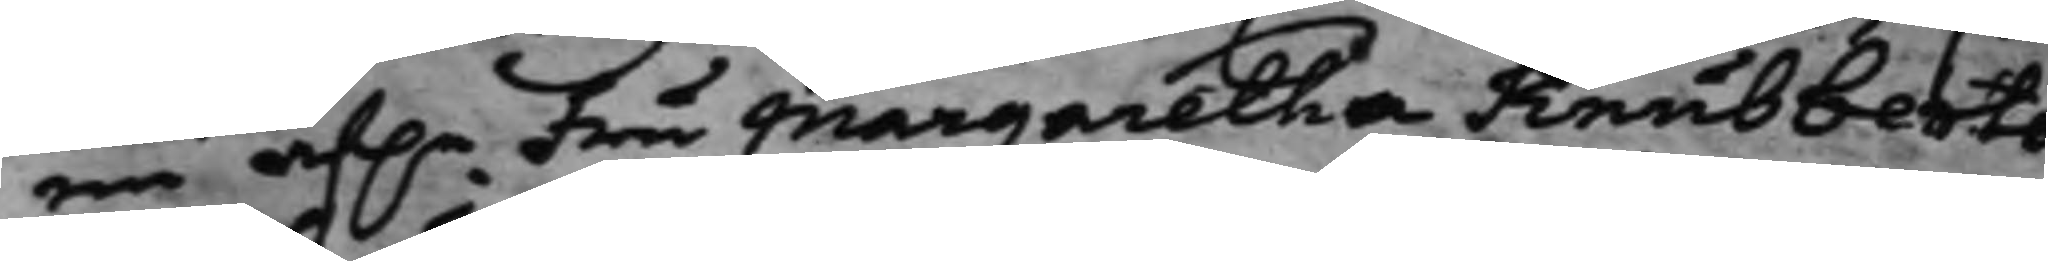en af.e Fru Margaretha Knubberts
